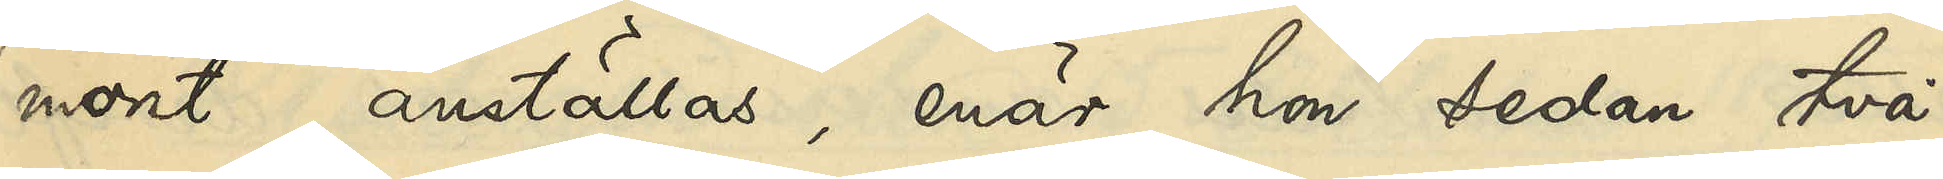mont anställas, enär hon sedan två
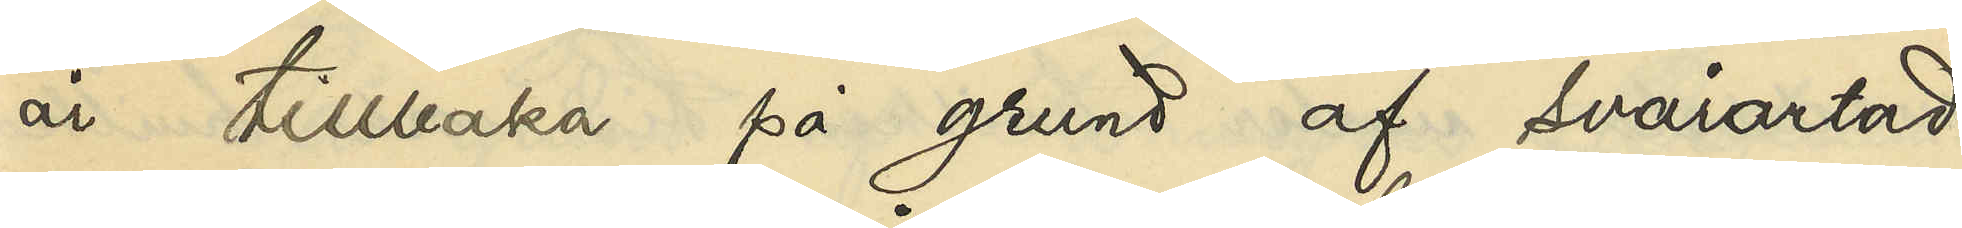år tillbaka på grund af svårartad
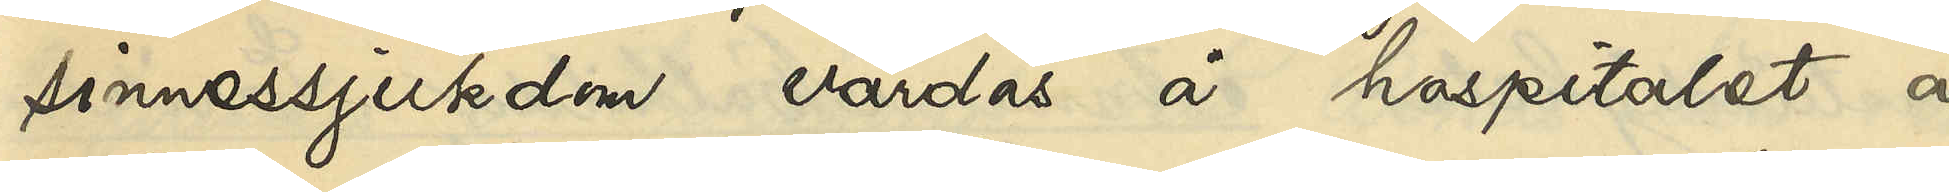sinnessjukdom vårdas å hospitalet å
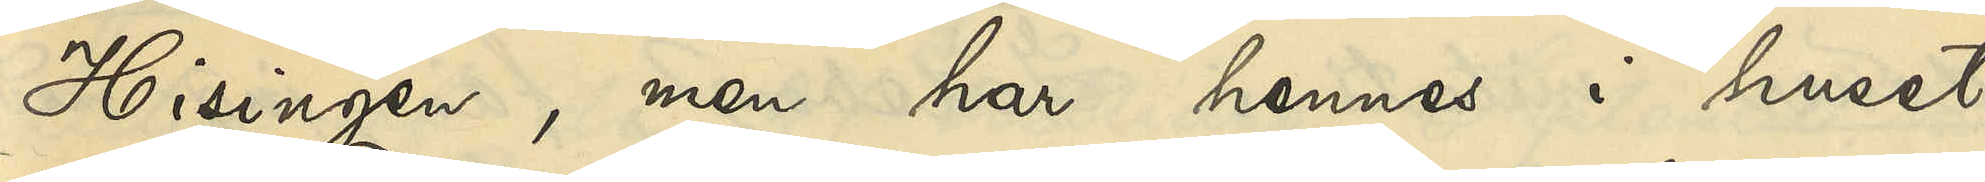Hisingen, men har hennes i huset
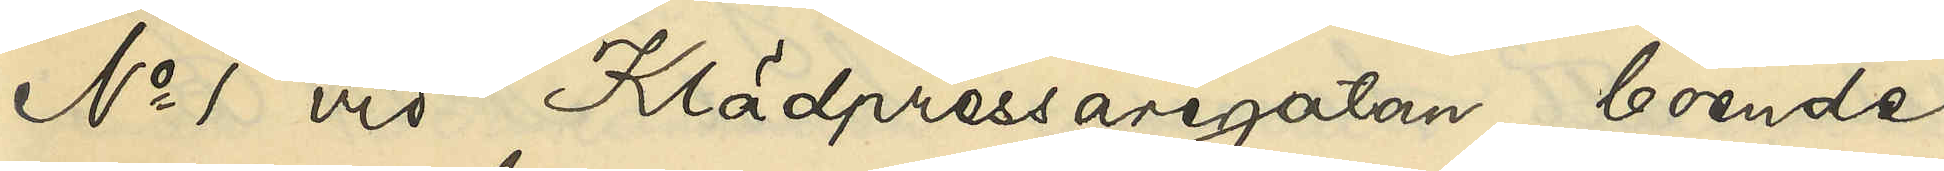No 1 vid Klädpressaregatan boende
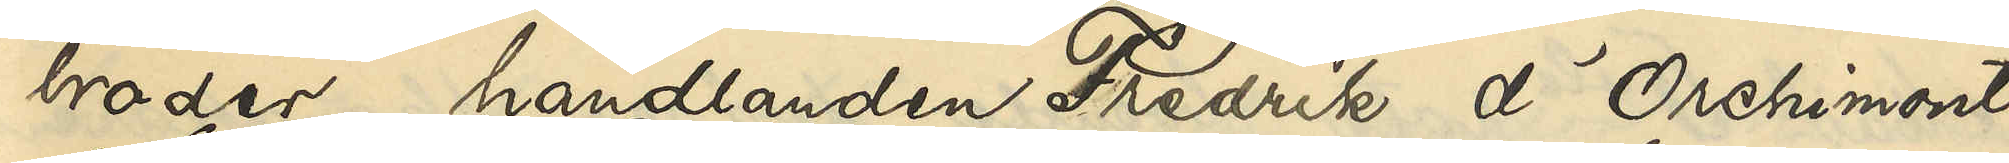broder, handlanden Fredrik d'Orchimont,
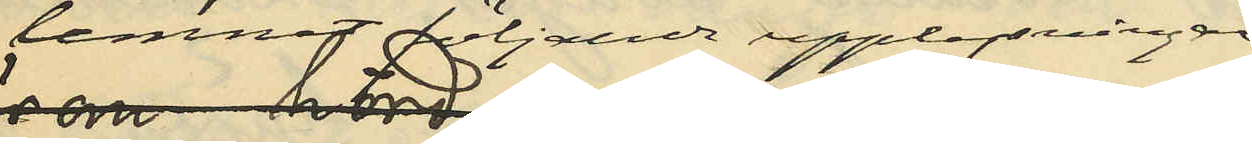lemnat följande upplysningar,
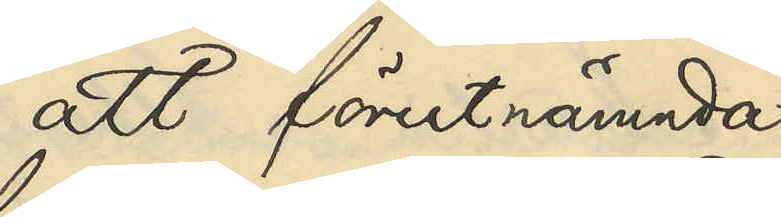att förutnämnda
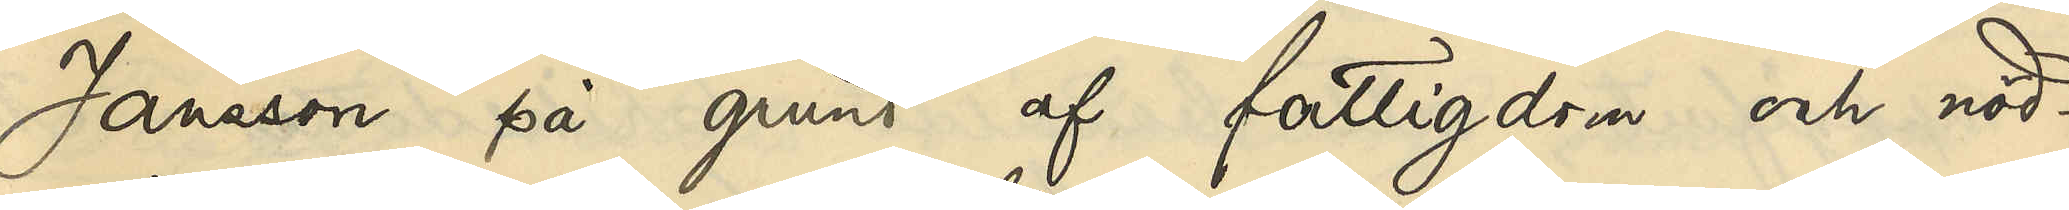Jansson på grund af fattigdom och nöd¬
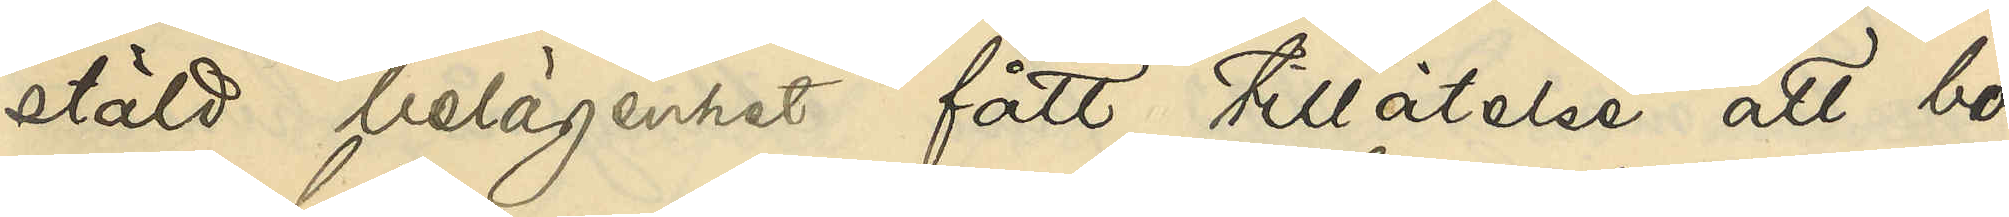stäld belägenhet fått tillåtelse att bo
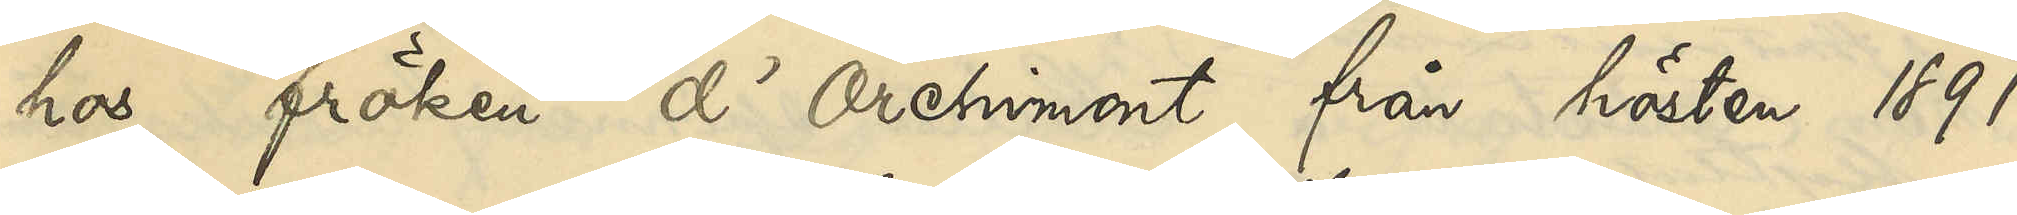hos fröken d'Orchimont från hösten 1891
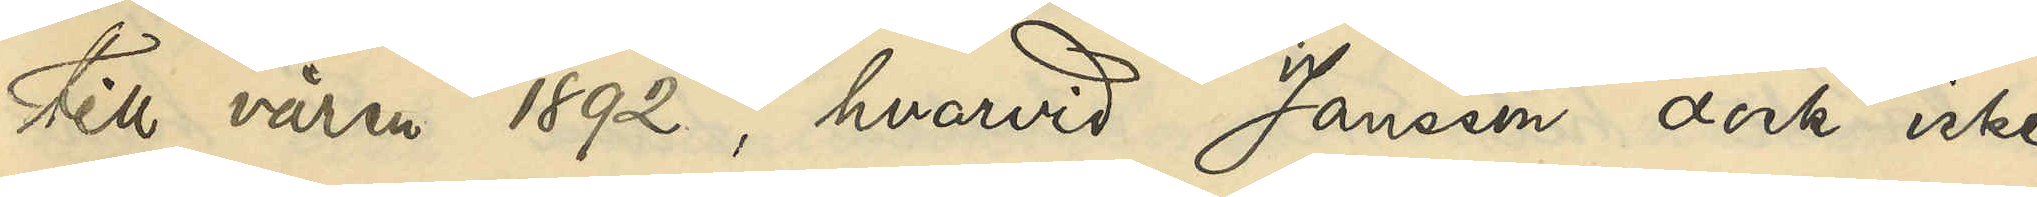till våren 1892, hvarvid Jansson dock icke
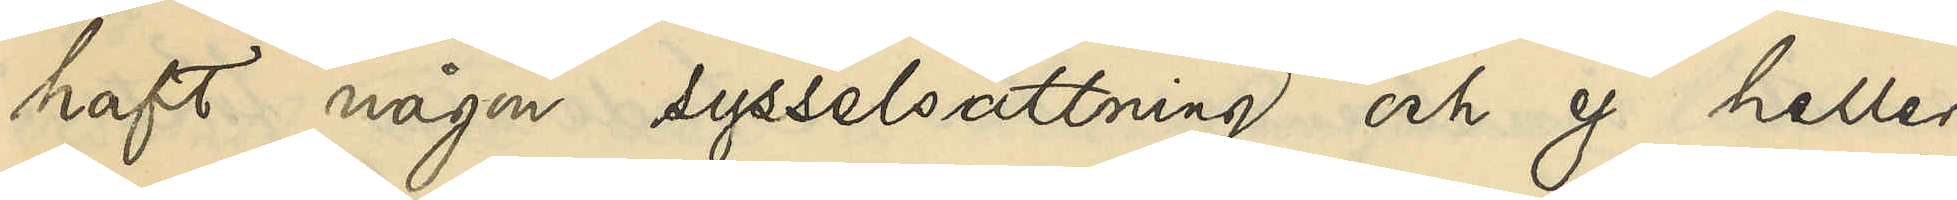haft någon sysselsättning och ej heller
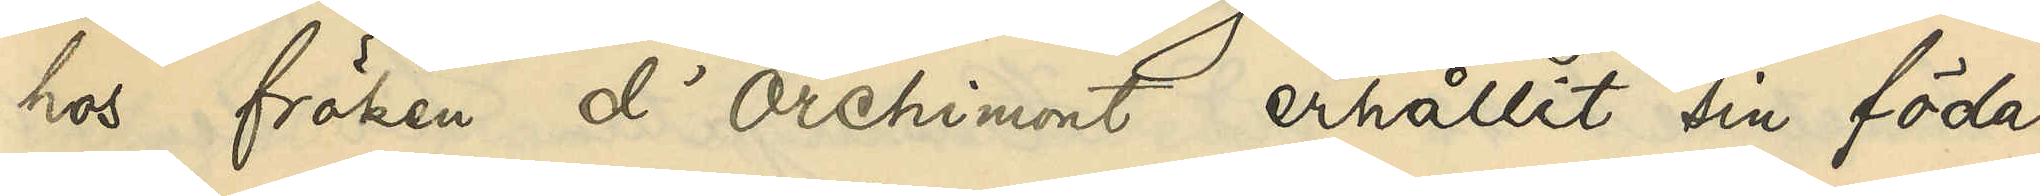hos fröken d'Orchimont erhållit sin föda,
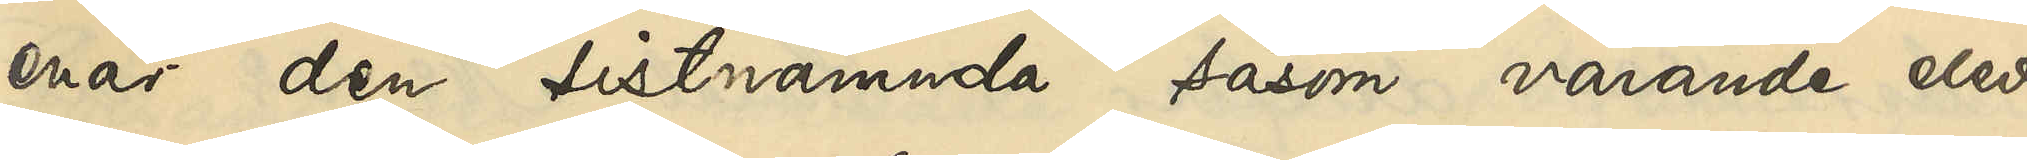enär den sistnämnda såsom varande elev
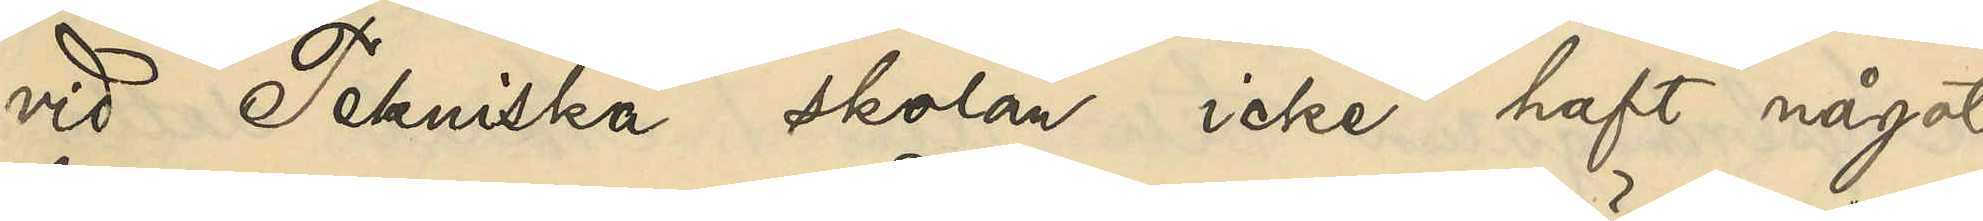vid Tekniska skolan icke haft något 
